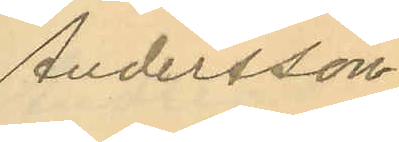Andersson.
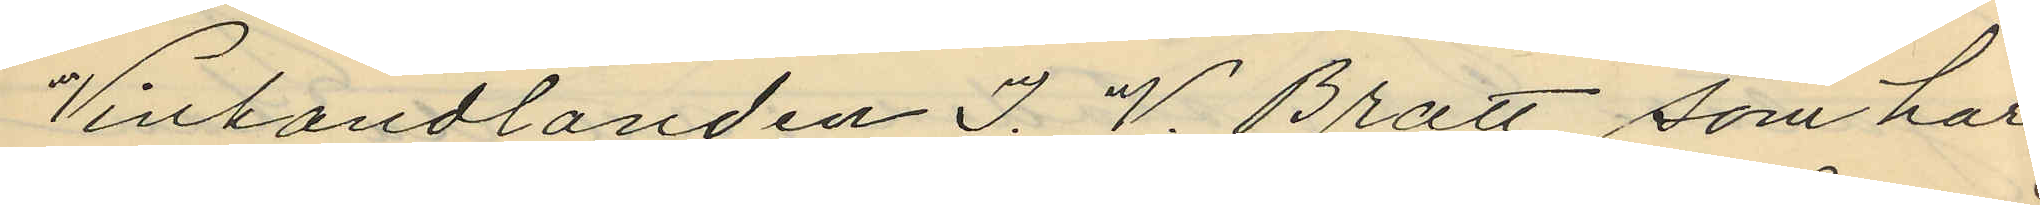Vinhandlanden J. V. Bratt, som har
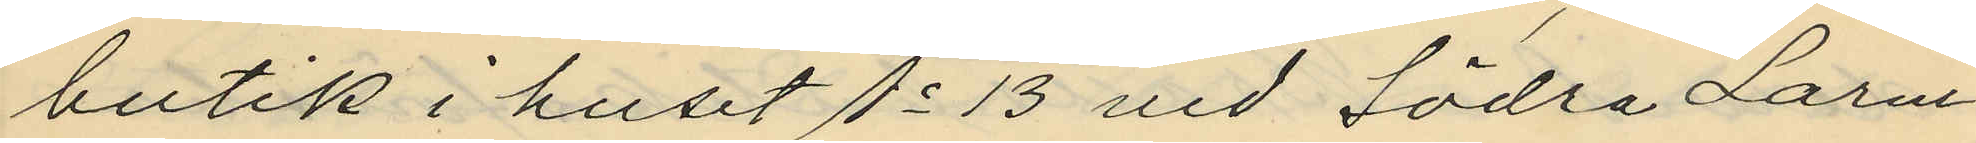butik i huset No 13 vid Södra Larm¬
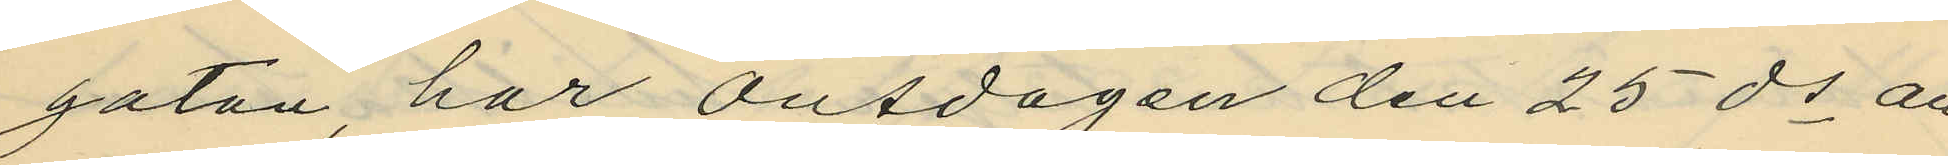gatan, har onsdagen den 25 ds an¬
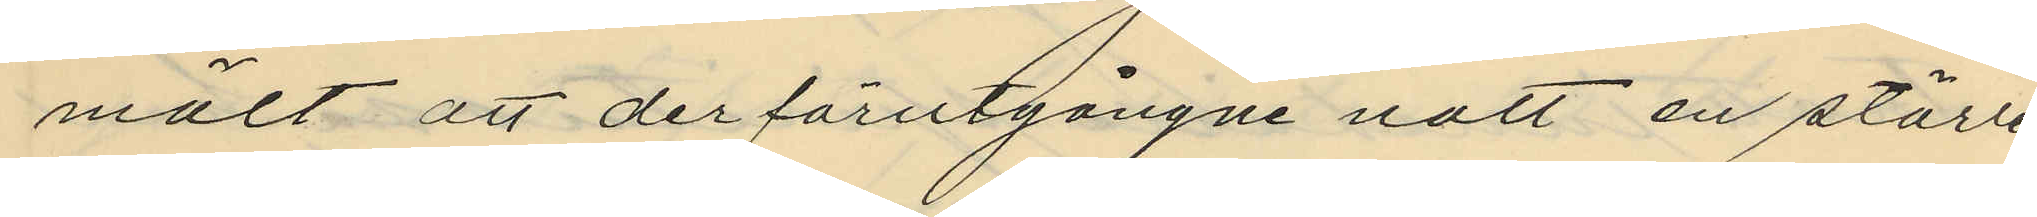mält att derförutgångne natt en större
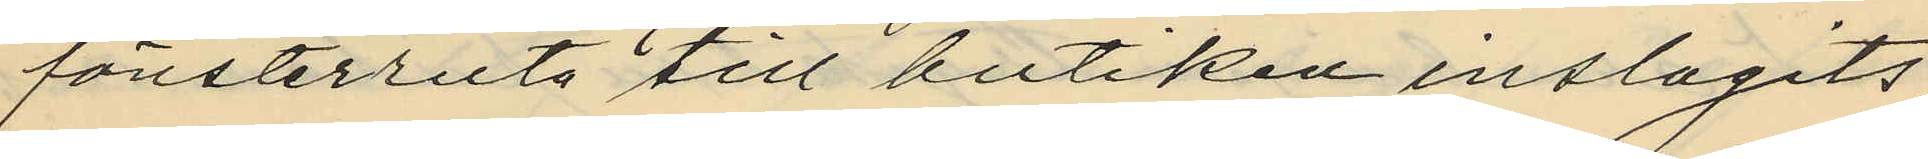fönsterruta till butiken inslagits,
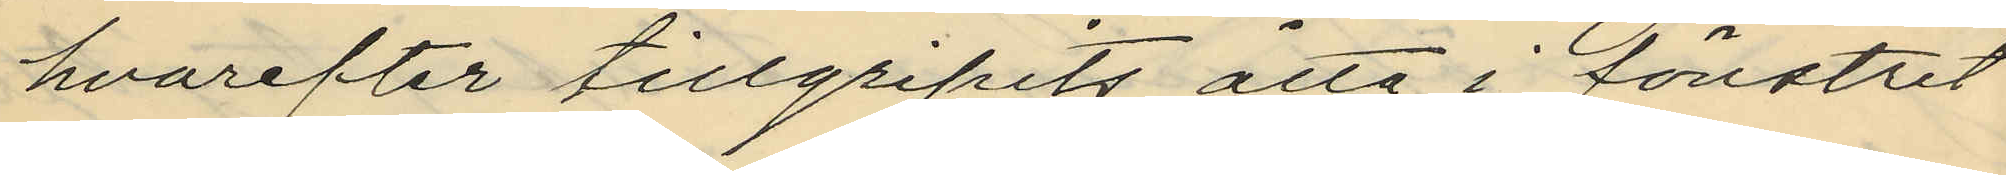hvarefter tillgripits åtta i fönstret
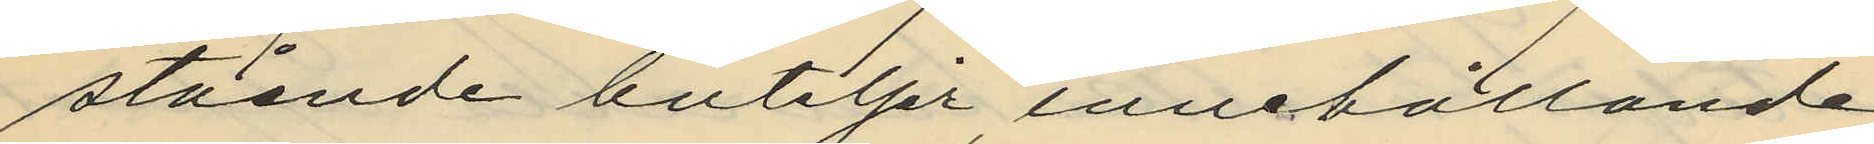stående buteljer, innehållande
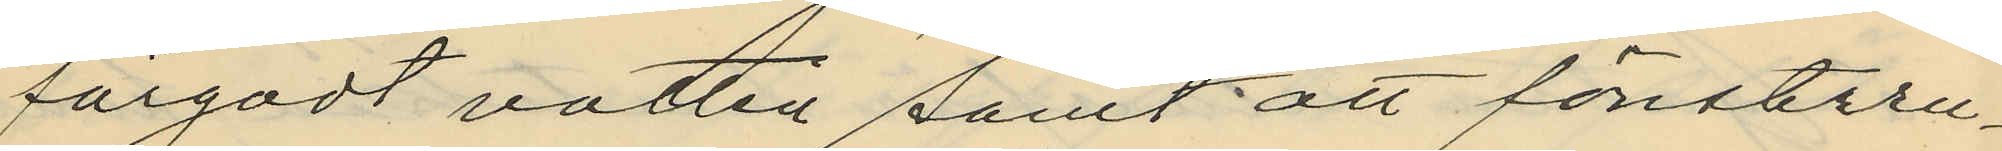färgadt vatten samt att fönsteru¬
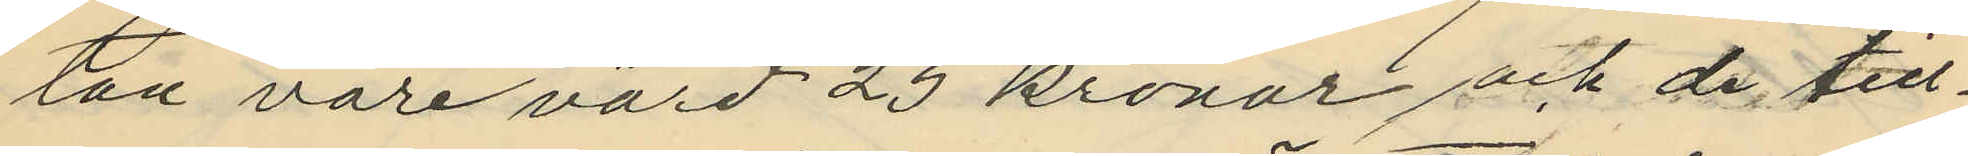tan vore värd 25 kronor, och de till¬
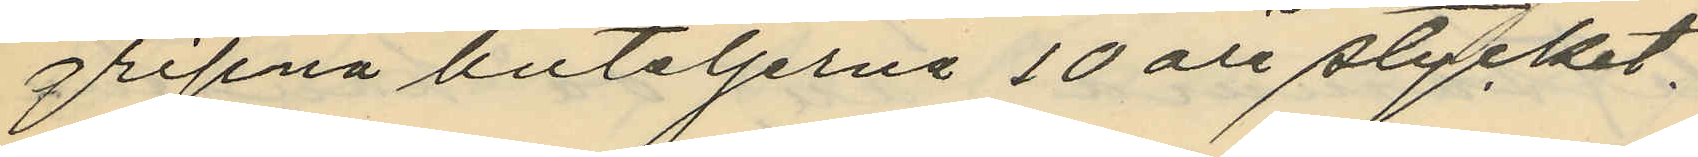gripna buteljerna 10 öre stycket.
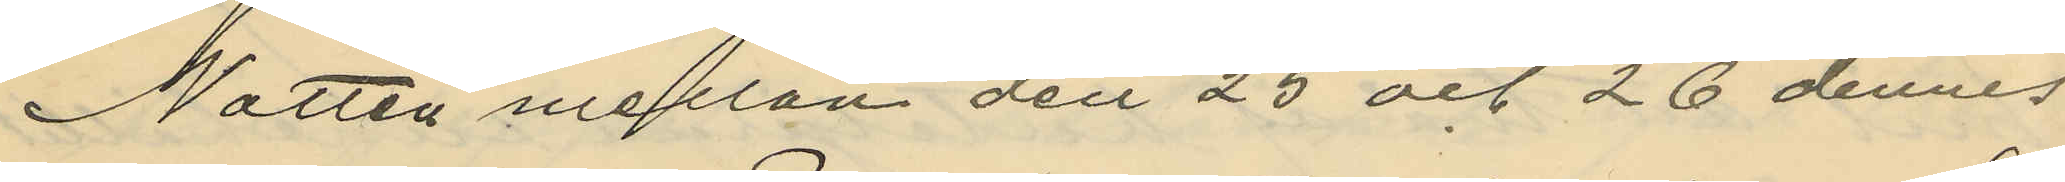Natten mellan den 25 och 26 dennes
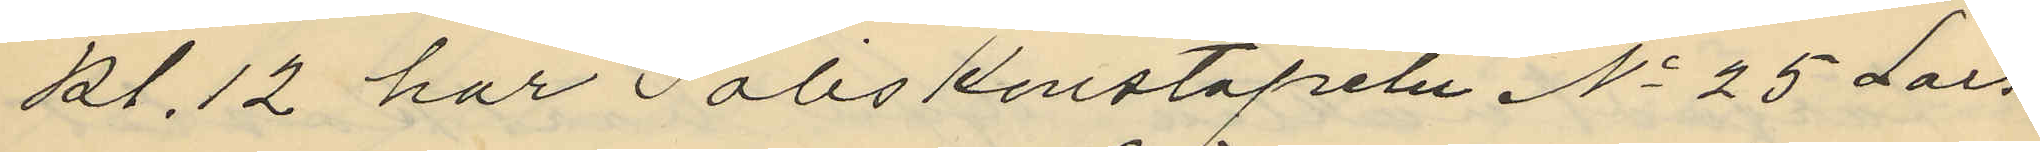kl. 12 har Poliskonstapeln No 25 Lars¬
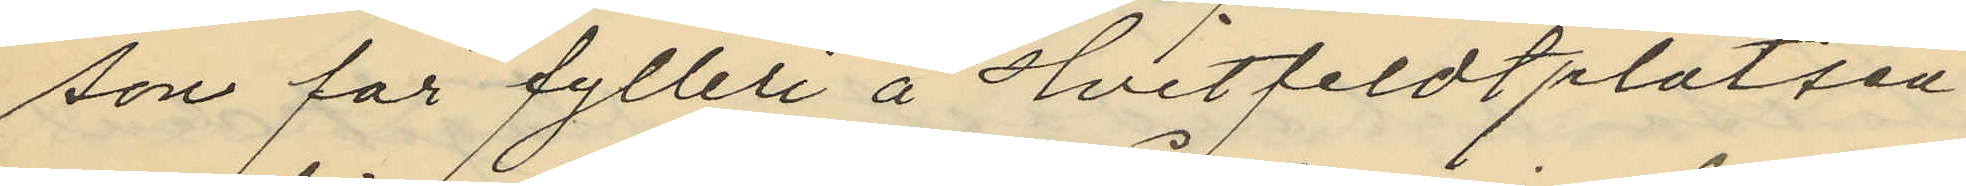son för fylleri å Hvitfeldtplatsen
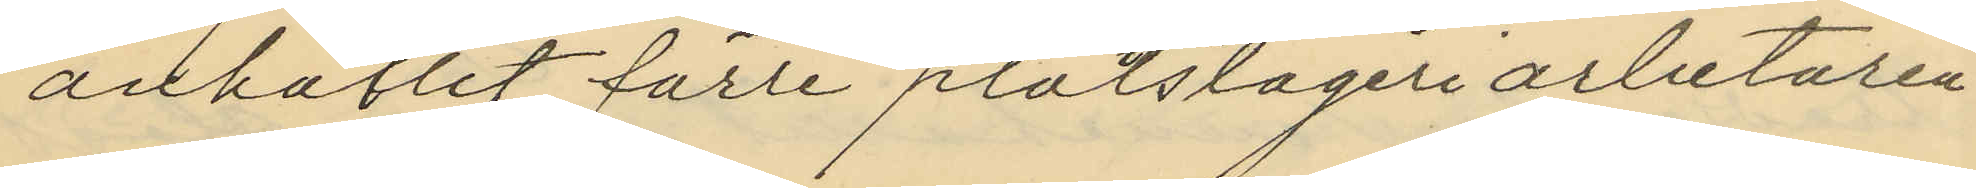anhållit förre plåtslageriarbetaren
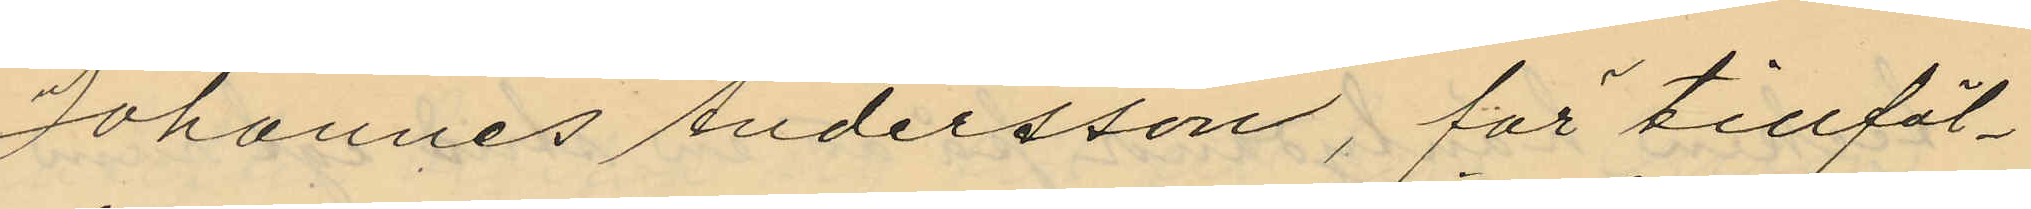Johannes Andersson, för tillfäl¬
